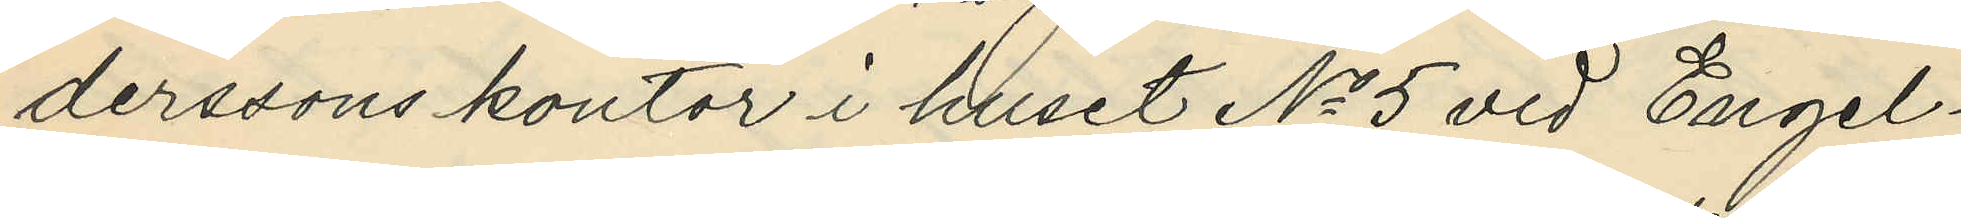derssons kontor i huset No 5 vid Engel¬
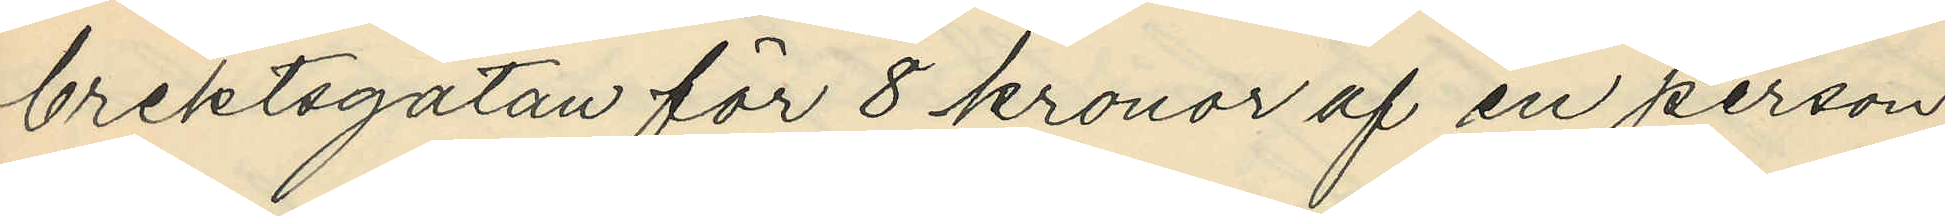brektsgatan för 8 kronor af en person
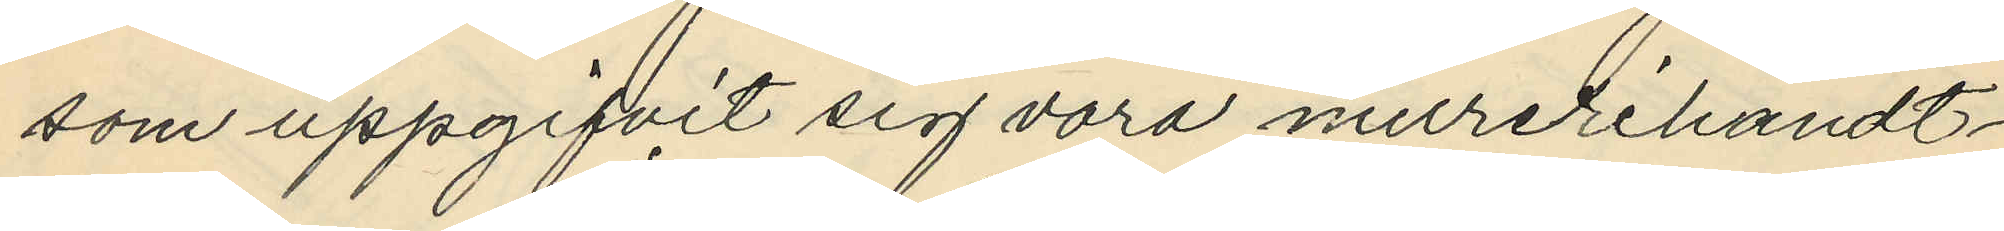som uppgifvit sig vara murerihandt¬
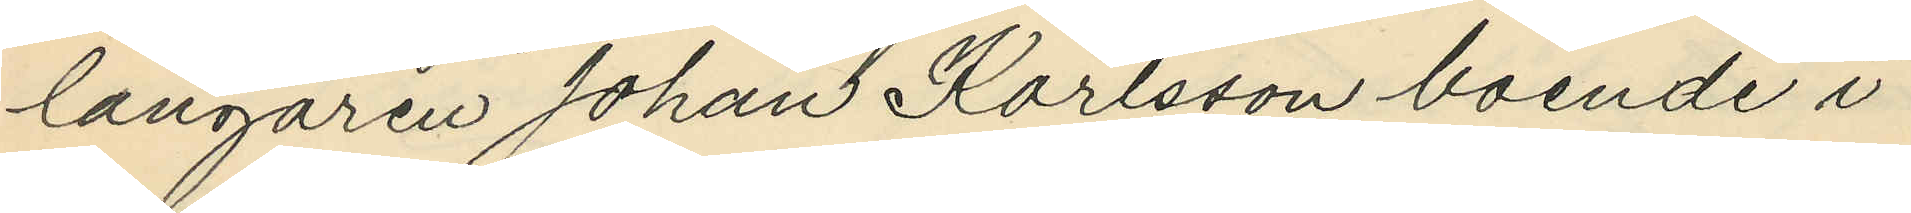langaren Johan Karlsson boende i
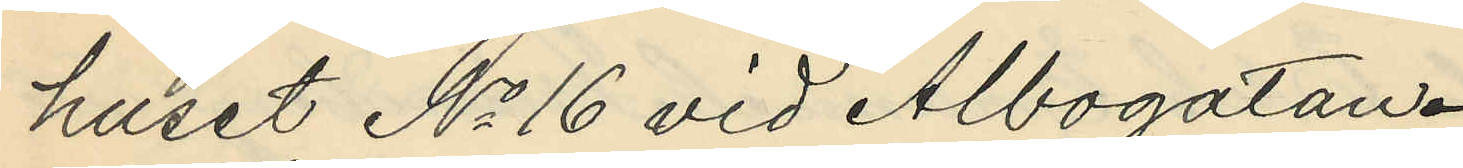huset No 16 vid Albogatan.
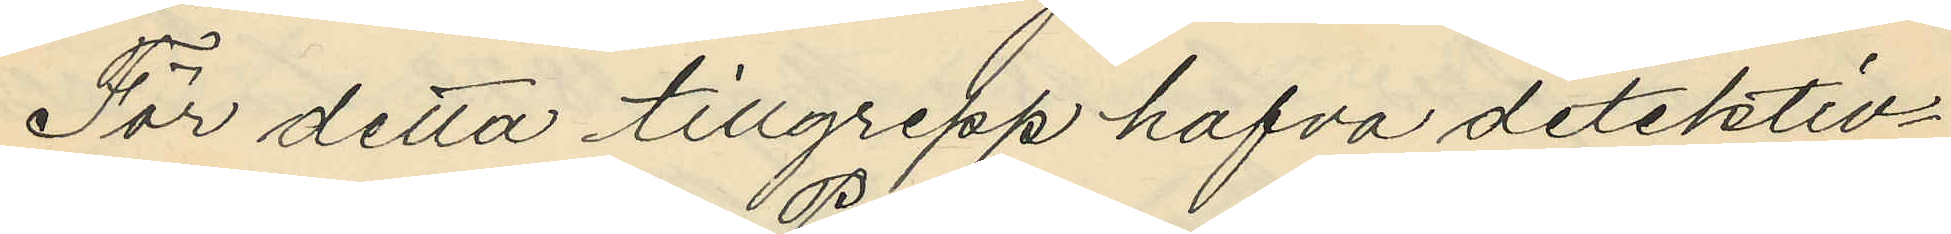För detta tillgrepp hafva detektiv¬
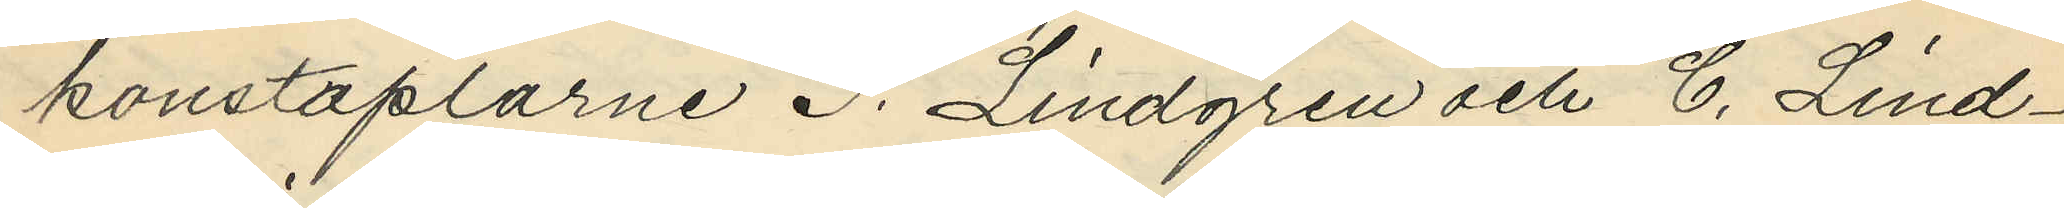konstaplarne P. Lindgren och C. Lind¬
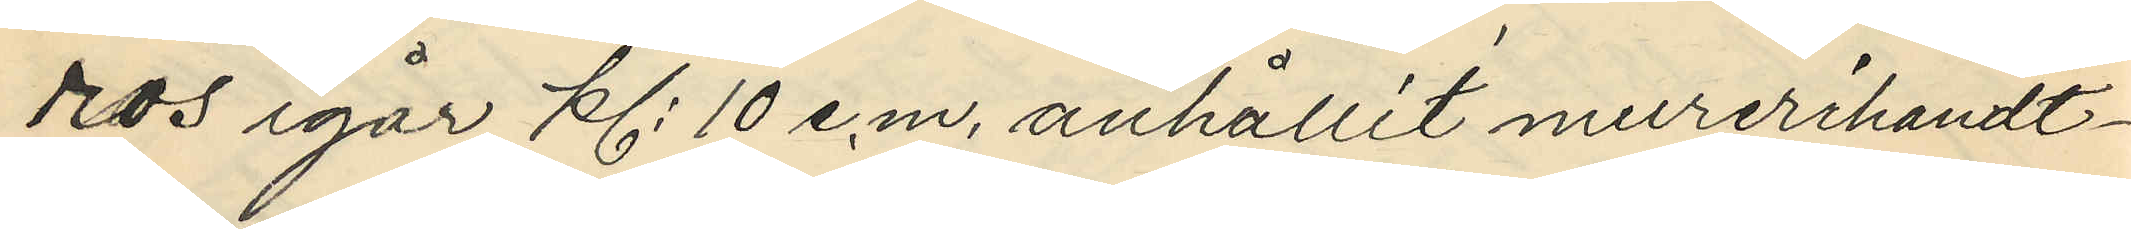ros igår kl. 10 e,m, anhållit murerihandt¬
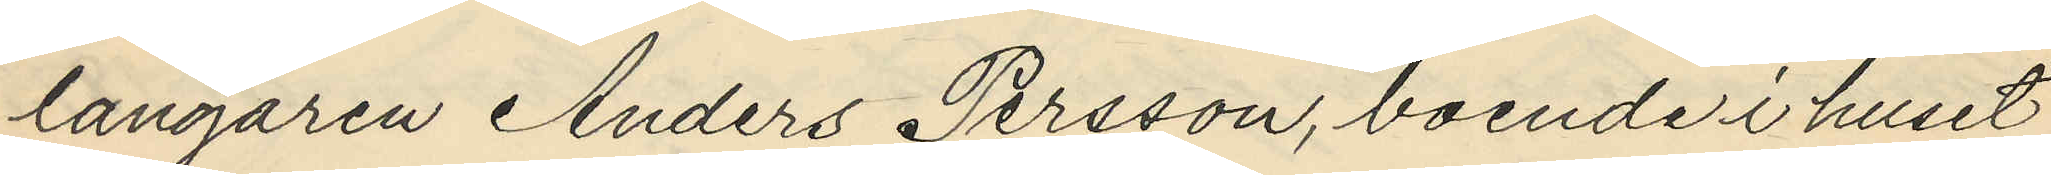langaren Anders Persson, boende i huset
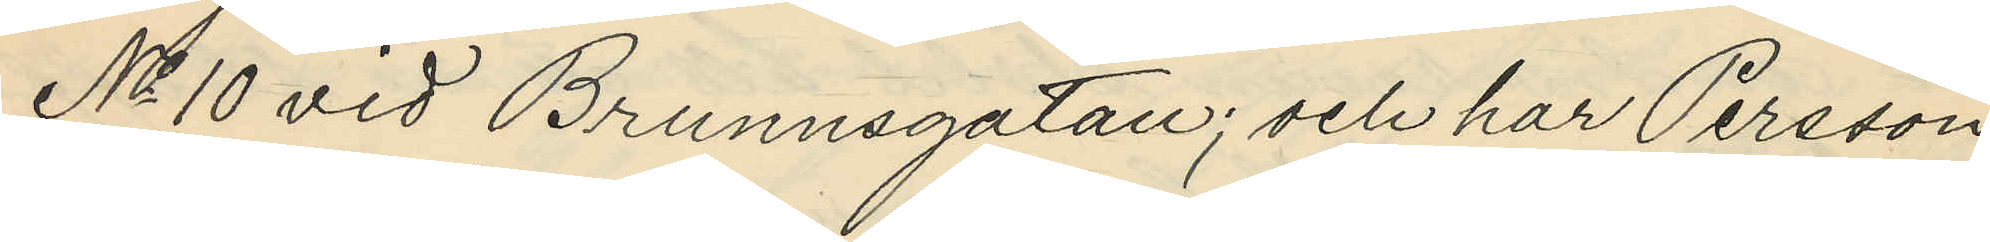No 10 vid Brunnsgatan; och har Persson
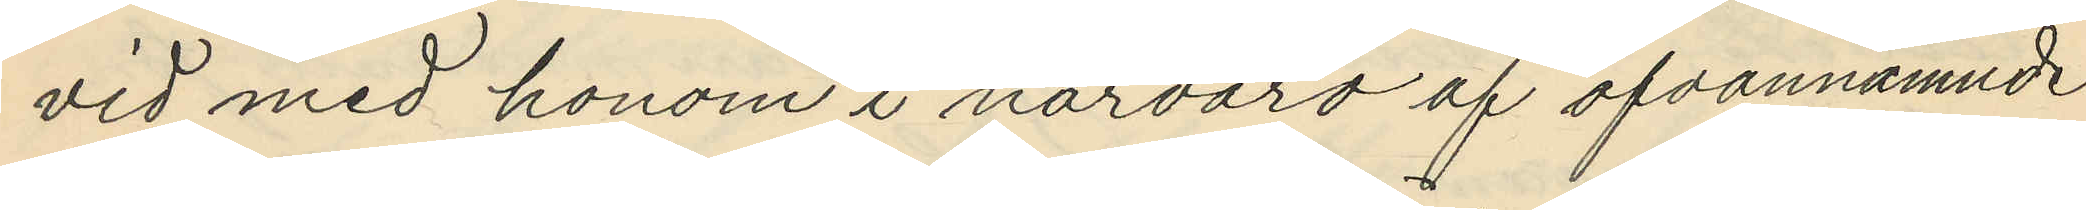vid med honom i närvaro af ofvannämnde
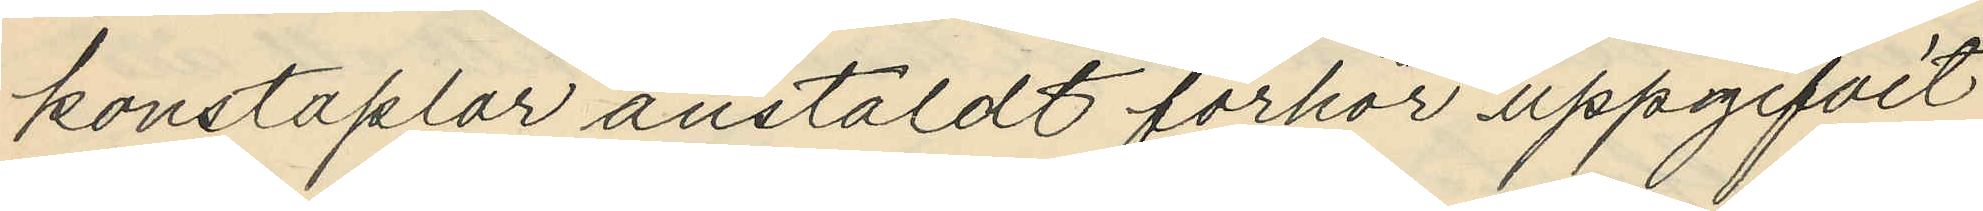konstaplar anstäldt förhör uppgifvit
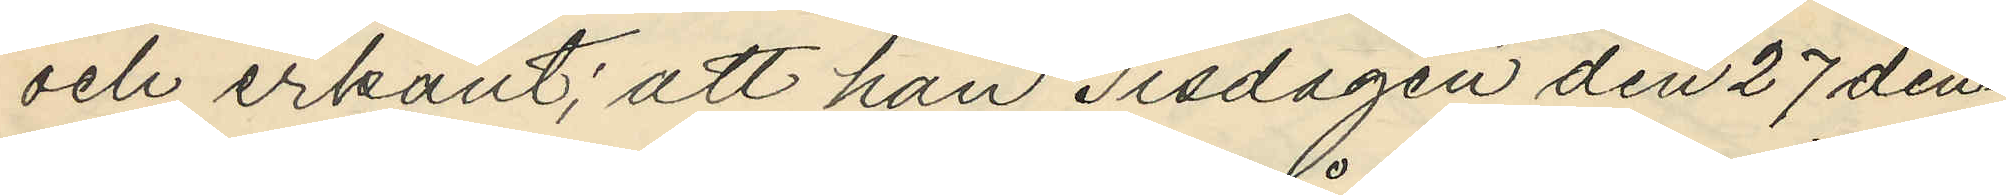och erkänt; att han Tisdagen den 27 den¬
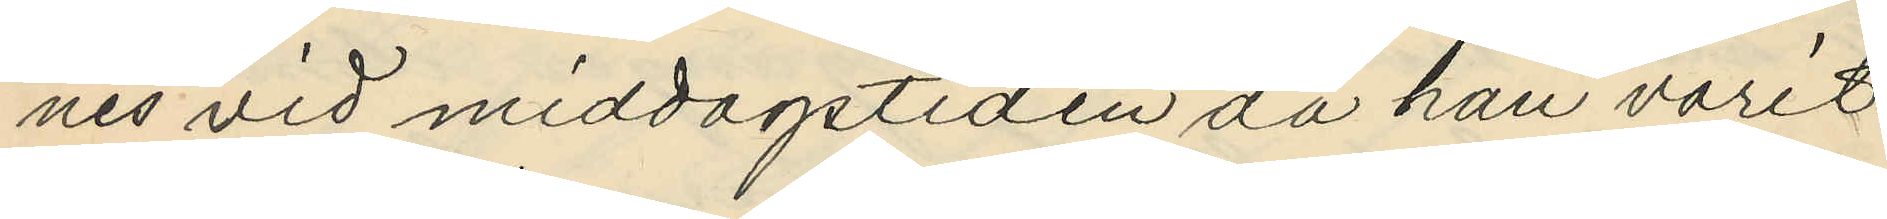nes vid middagstiden då han varit
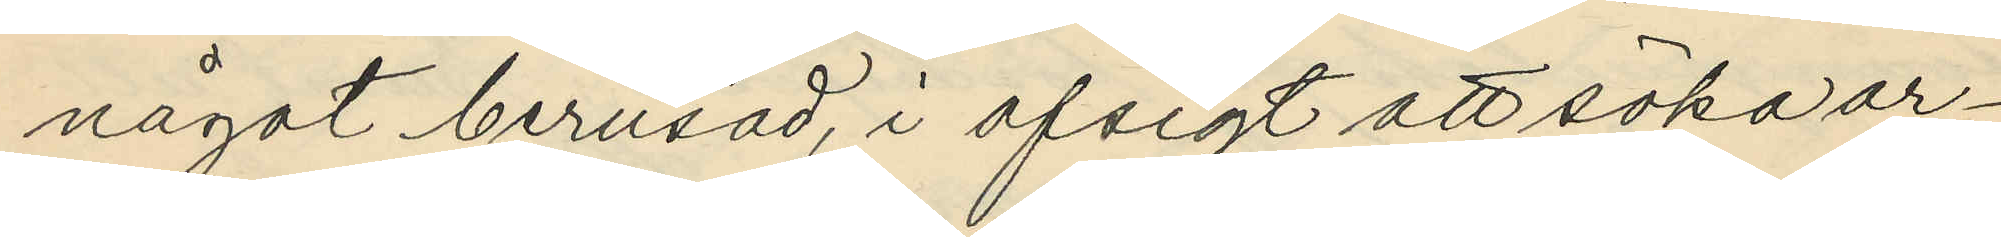något berusad, i afsigt att söka ar¬
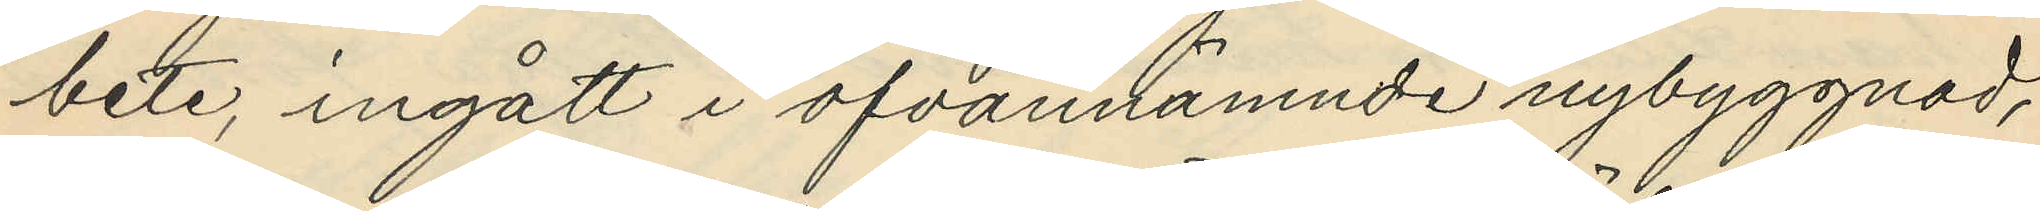bete, ingått i ofvannämnde nybyggnad,
